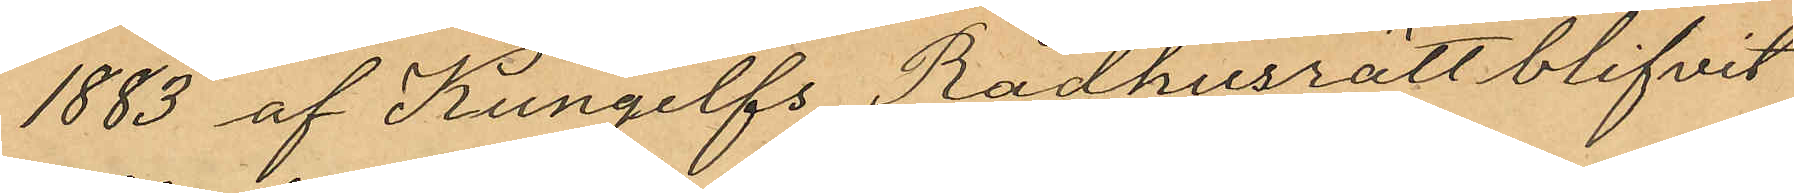1883 af Kungelfs Rådhusrätt blifvit
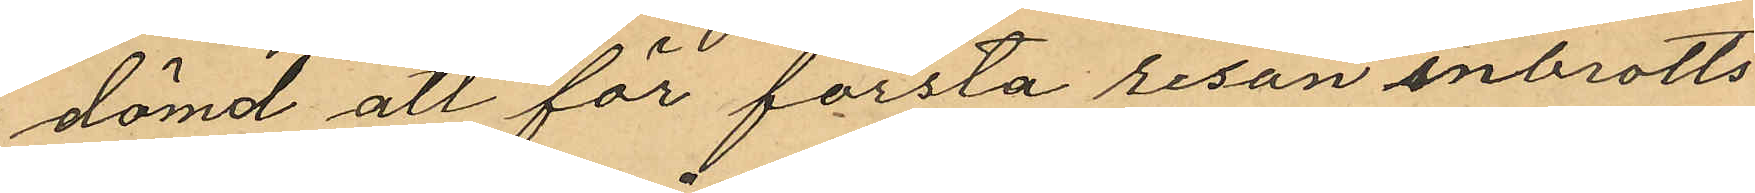dömd att för första resan inbrotts
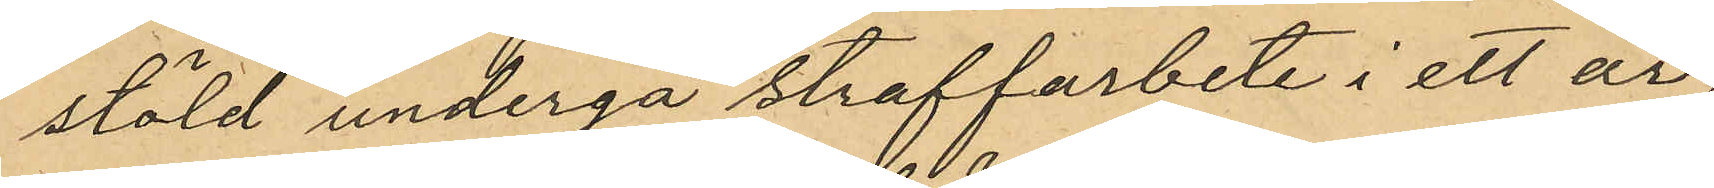stöld undergå straffarbete i ett år,
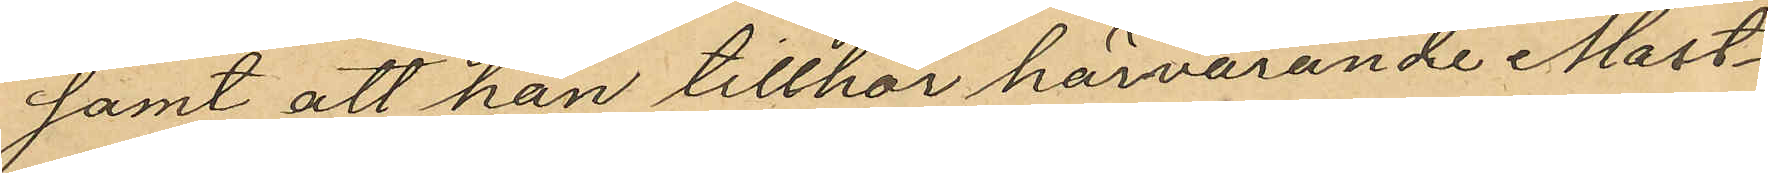samt att han tillhör härvarande Mast¬
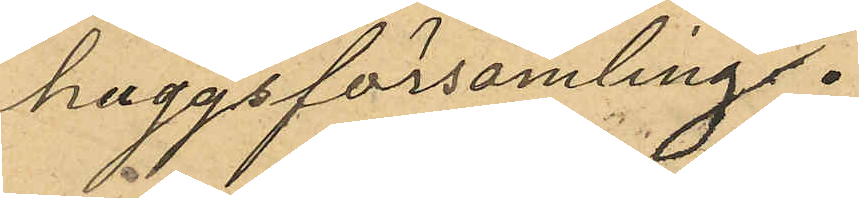huggsförsamling.
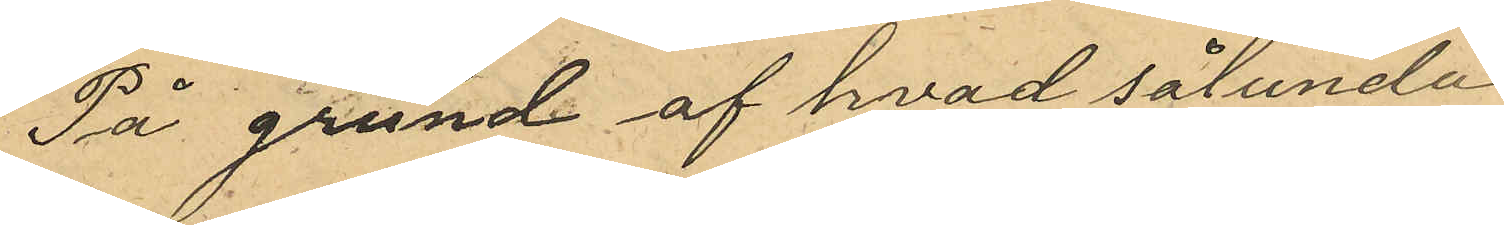På grund af hvad sålunda
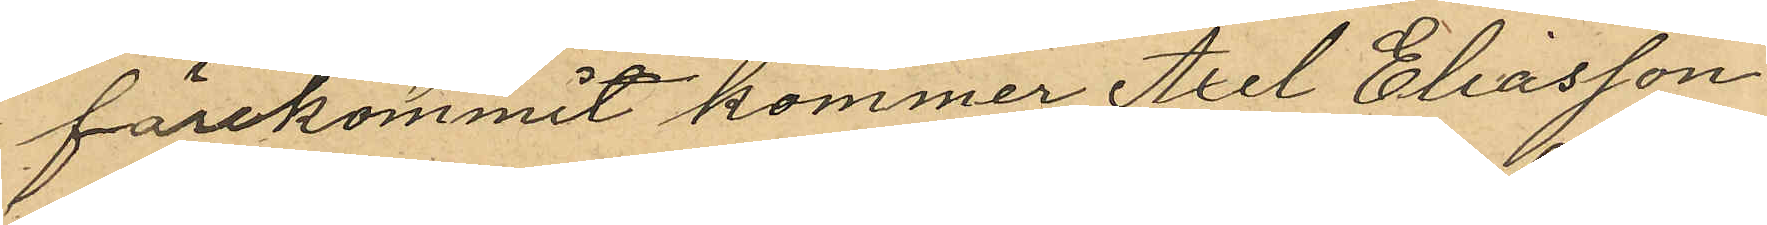förekommit kommer Axel Eliasson
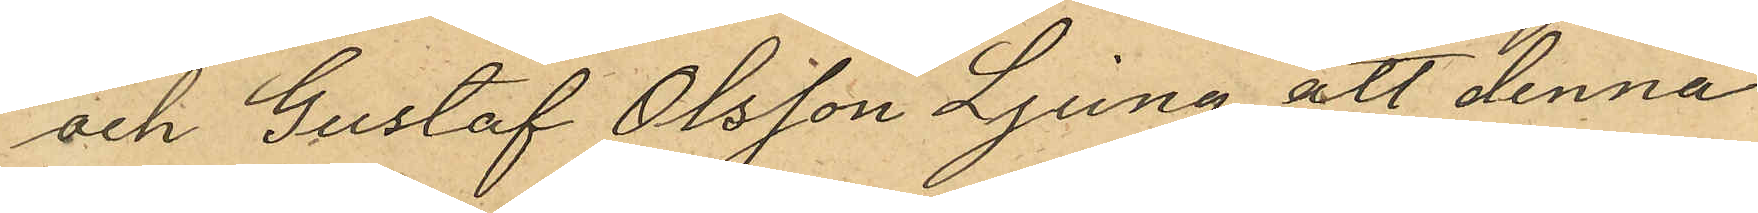och Gustaf Olsson Ljung att denna
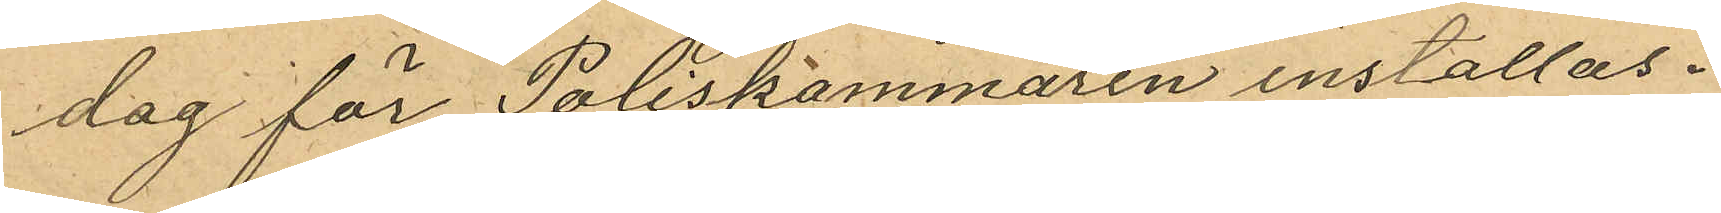dag för Poliskammaren inställas.
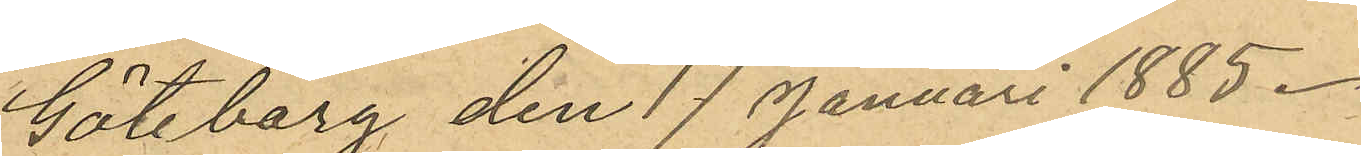Göteborg den 17 Januari 1885.
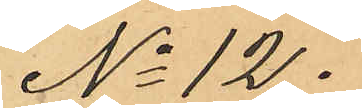No 12.
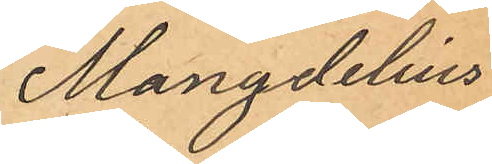Mangdelius
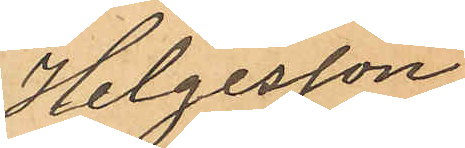Helgesson
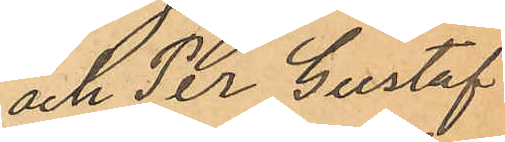och Per Gustaf
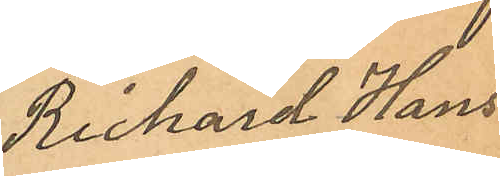Rickard Hans¬
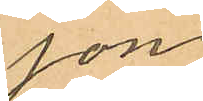son
